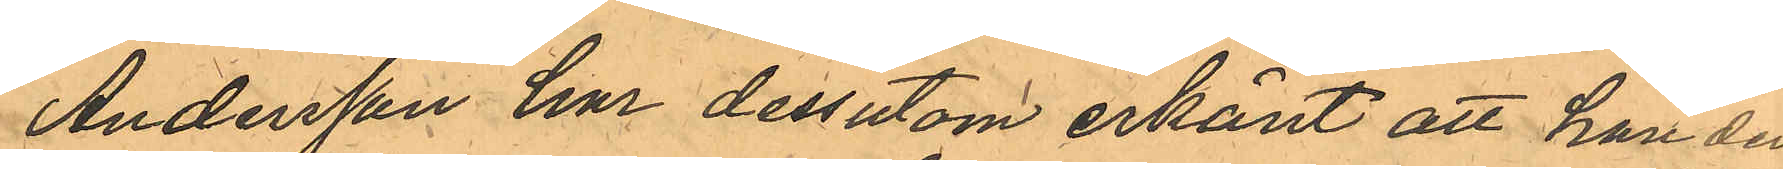Andersson har dessutom erkänt att han den
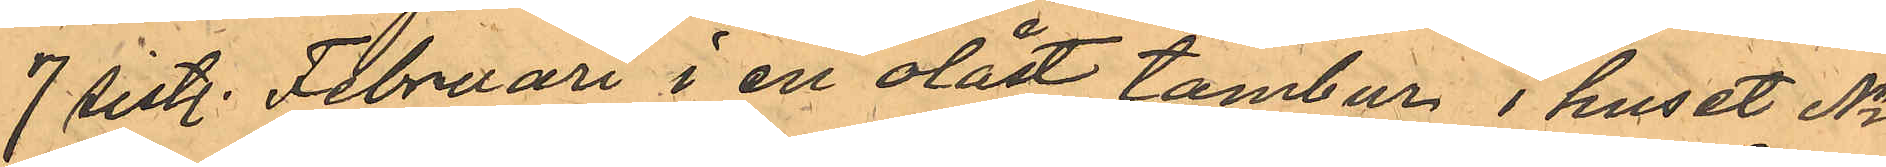7 sist. Februari i en olåst tambur i huset No
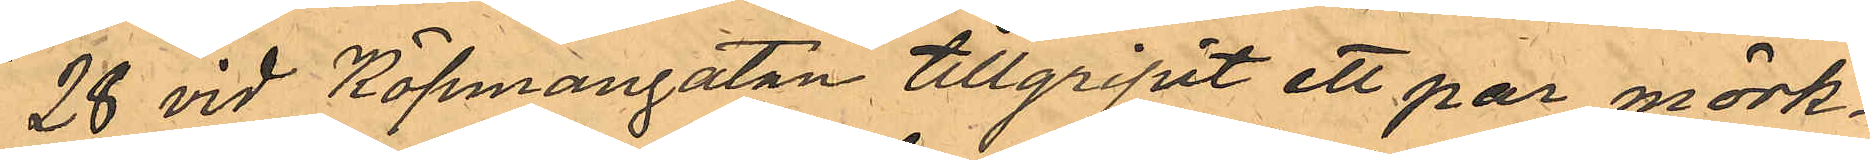28 vid Köpmangatan tillgripit ett par mörk¬
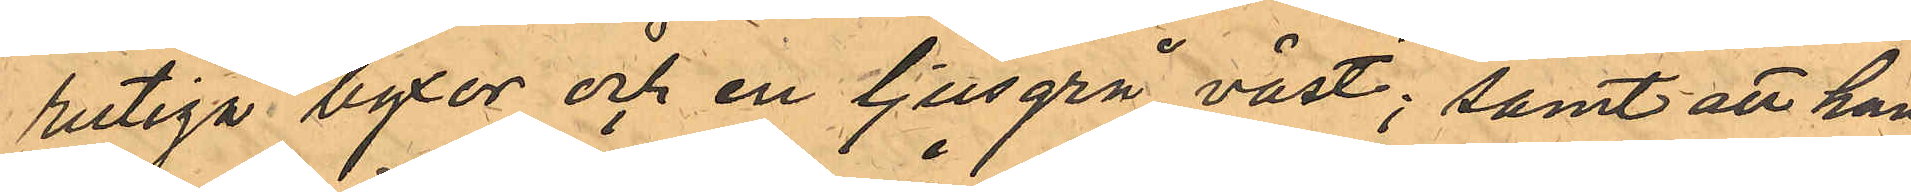rutiga byxor och en ljusgrå väst; samt att han
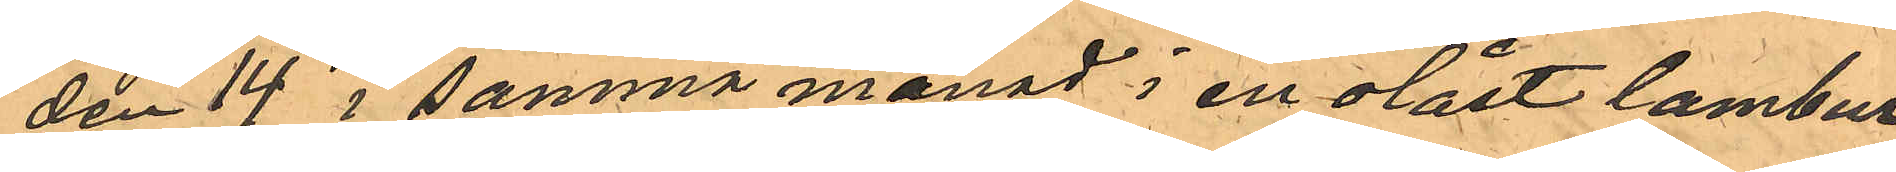den 14 i samma månad i en olåst lambur
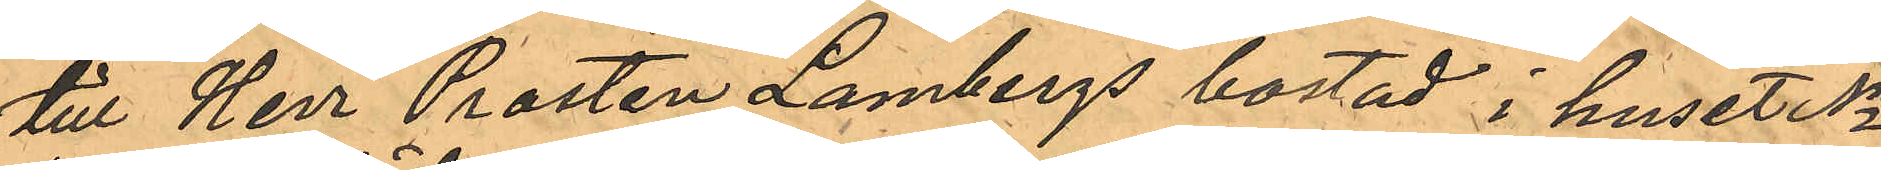till Herr Prosten Lambergs bostad i huset No
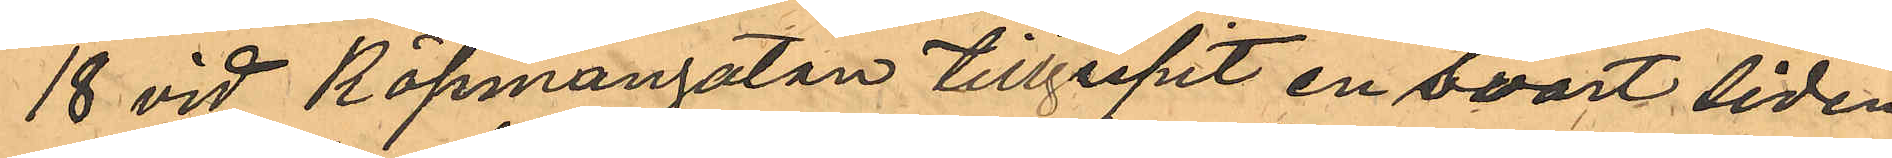18 vid Köpmangatan tillgripit en svart siden¬
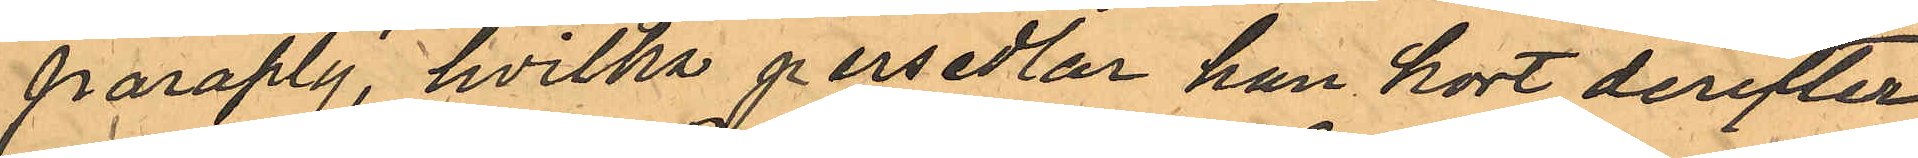paraply, hvilka persedlar han kort derefter
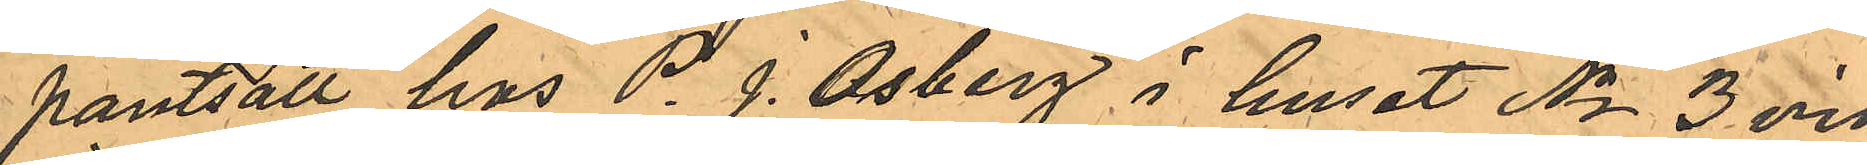pantsatt hos P. J. Osberg i huset No 3 vid 
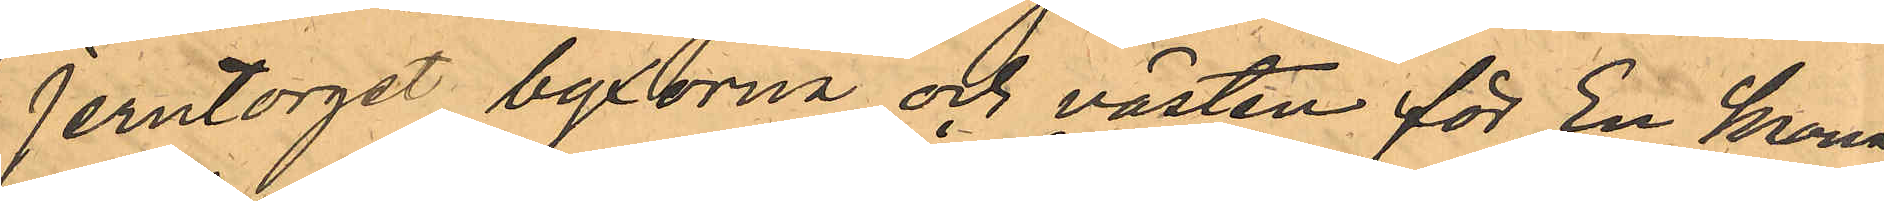Jerntorget, byxorna och västen för En krona 
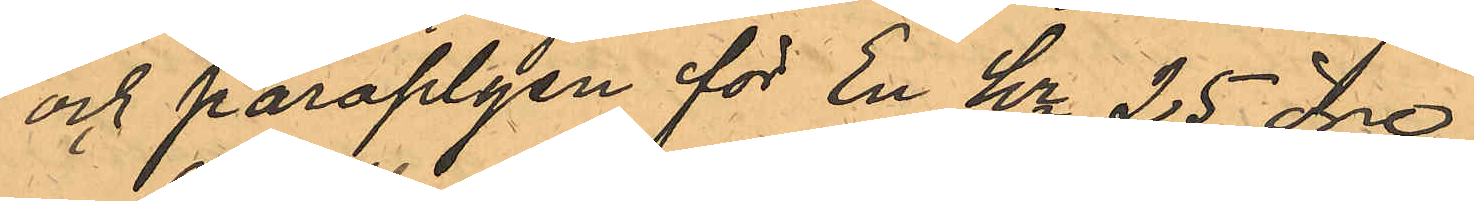och paraplyen för En kr 25 öre.
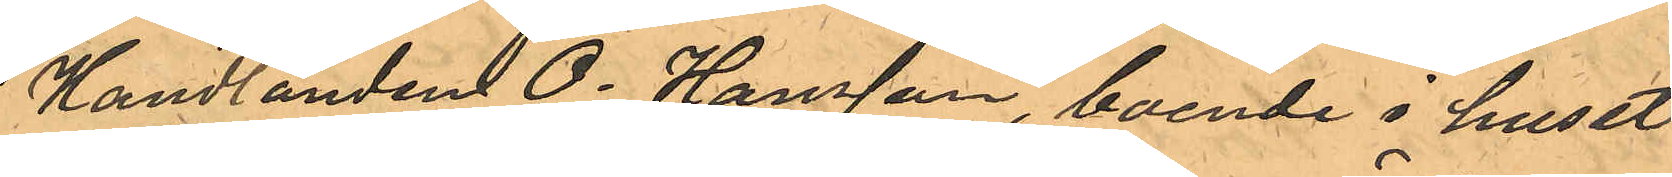Handlanden O. Hansson, boende i huset
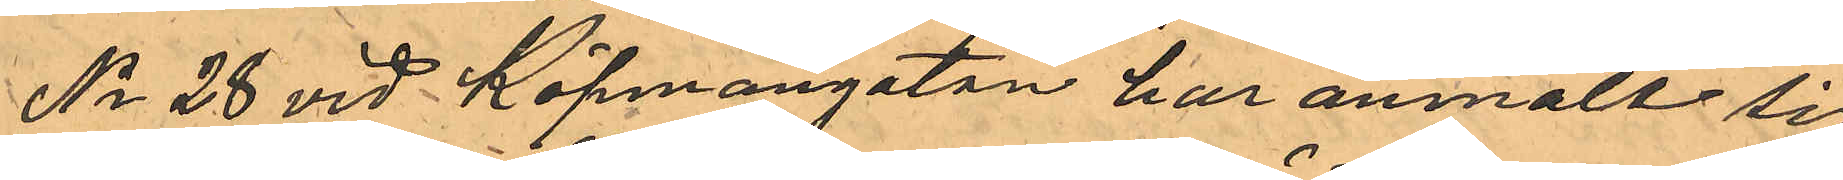No 28 vid Köpmangatan har anmält sig
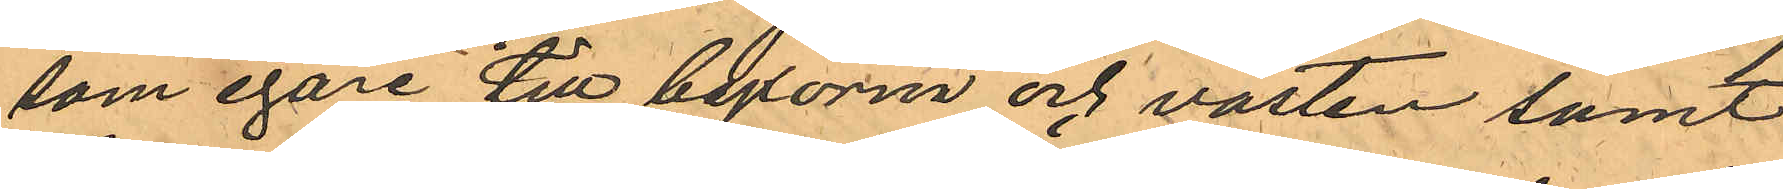som egare till byxorna och västen samt
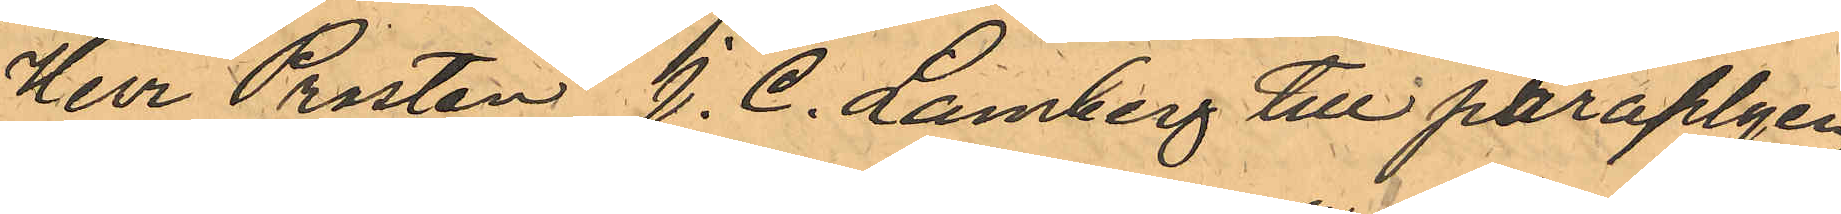Herr Prosten J. C. Lamberg till Paraplyen,
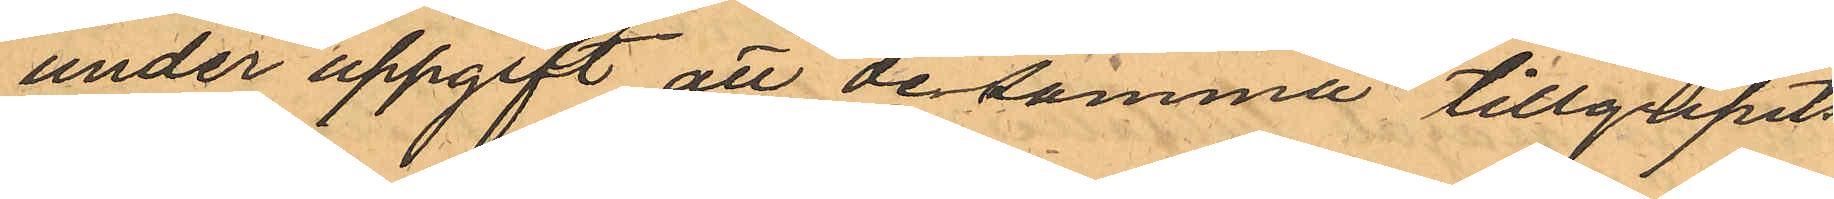under uppgift att desamma tillgripits
